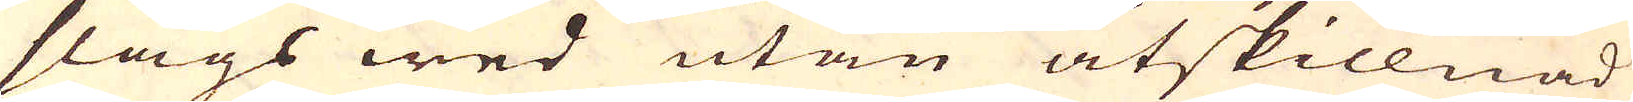slags wed utan åtskillnad
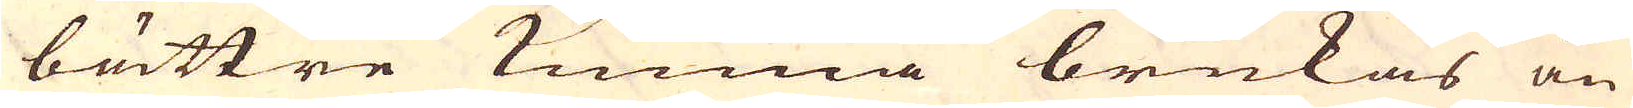bättre kunna brukas än
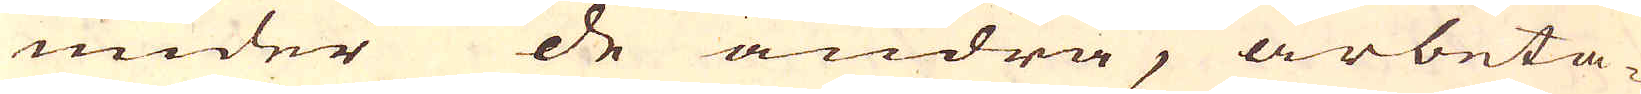under de andra, arbeta-
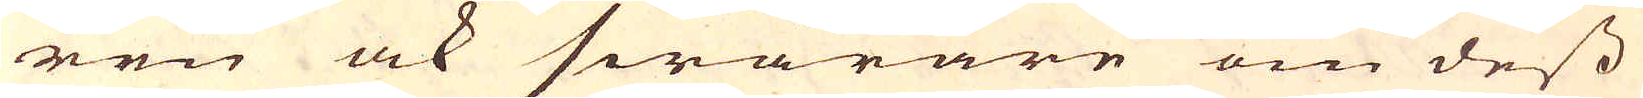ren ock swårare om dess
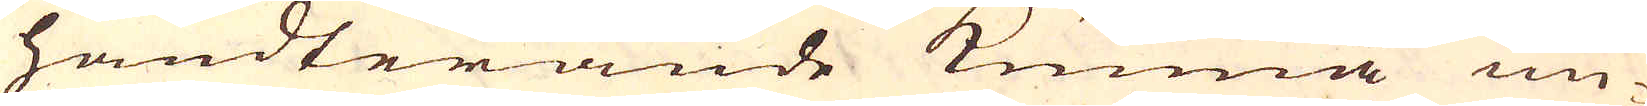handterande kunna un-
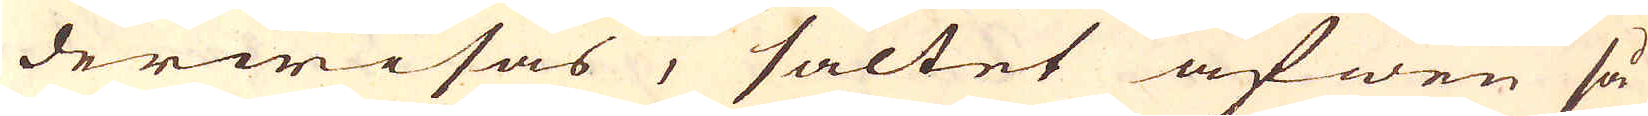derwisas, saltet äfwen så
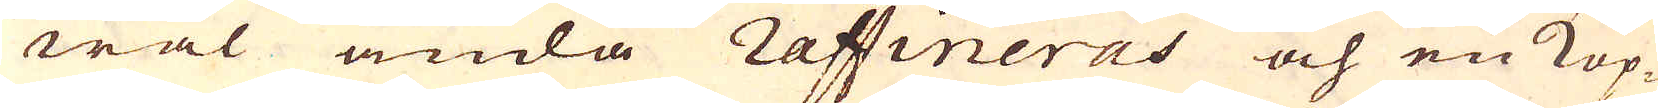wäl ända raffineras och en Kop-
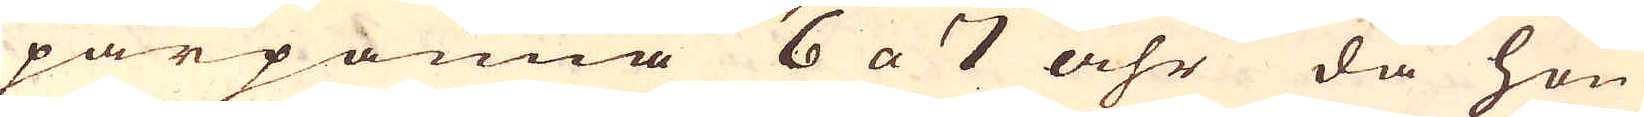parpanna 6 a 7 åhr då hon
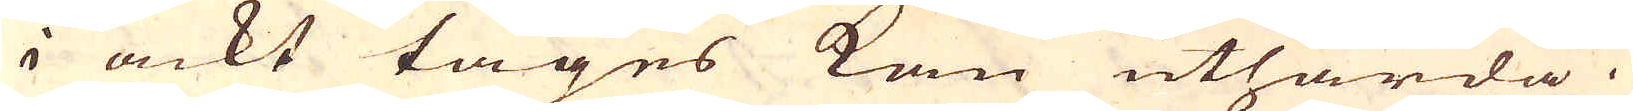i ackt tages kan uthärda.
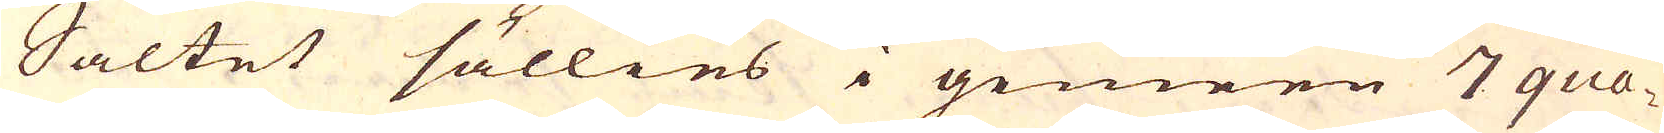Saltet sällies i gemeen 7 qua-
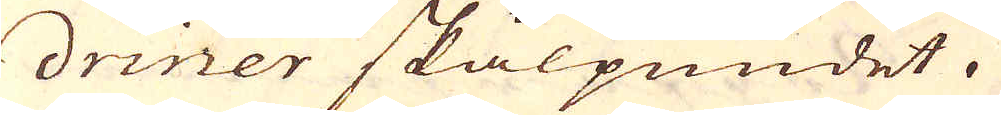driner skålpundet.
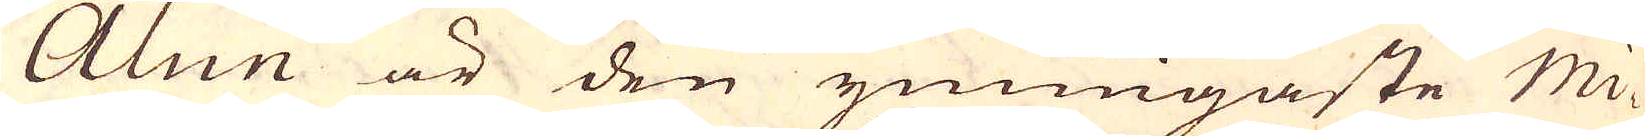Alun är den ymnigaste Mi-
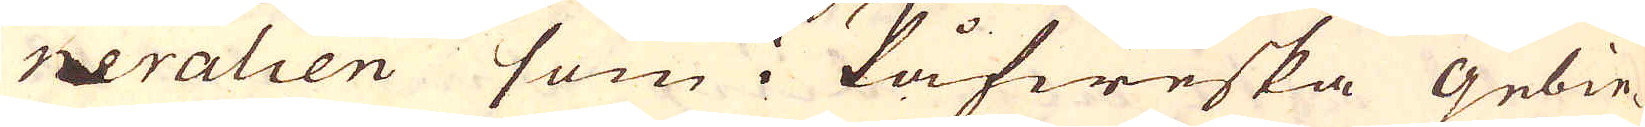neralien som i Påfweska Gebie-
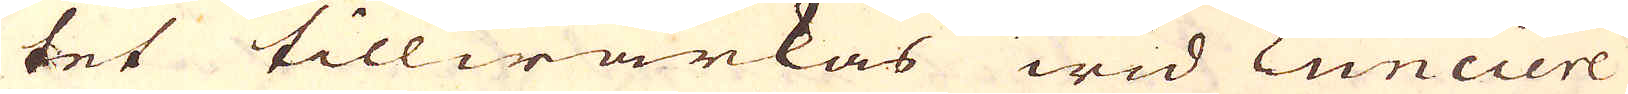tet tillwärkas wid Lunciere
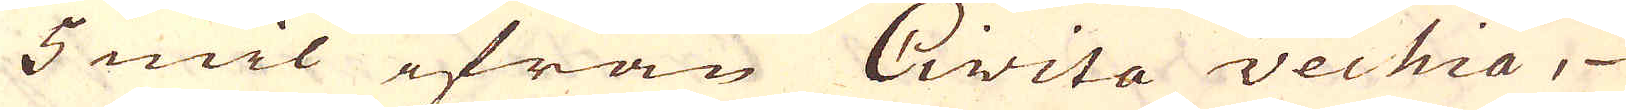5 mil ifrån Civita vechia,
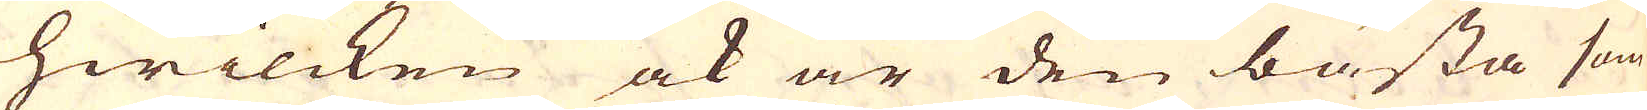hwilcken ock är den bästa som
